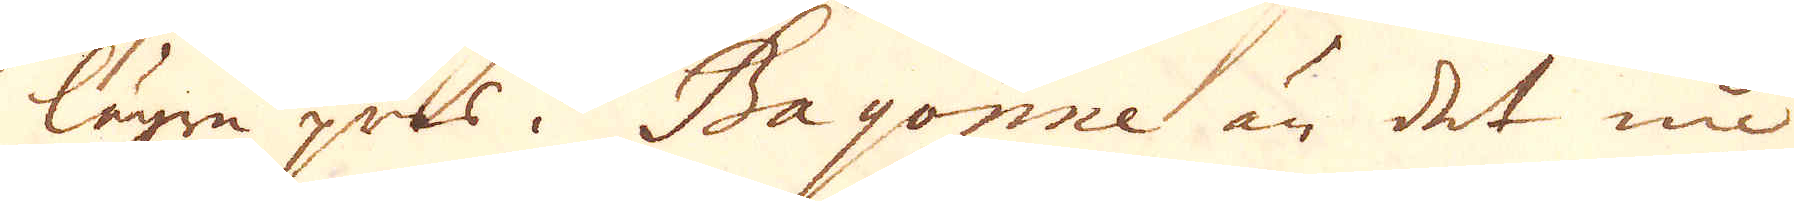lägre prls i Bayonne än det nu
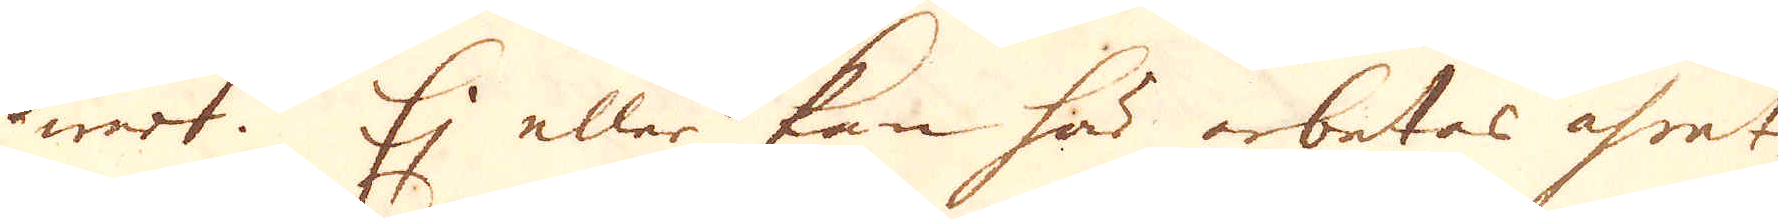war. Ej eller kan här arbetas åfret
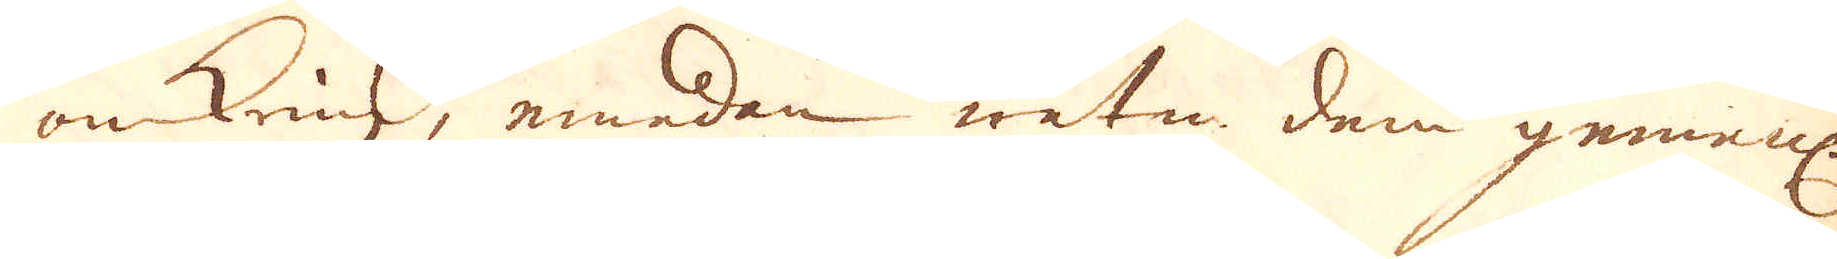omkring, emedan watn dem gemenl:
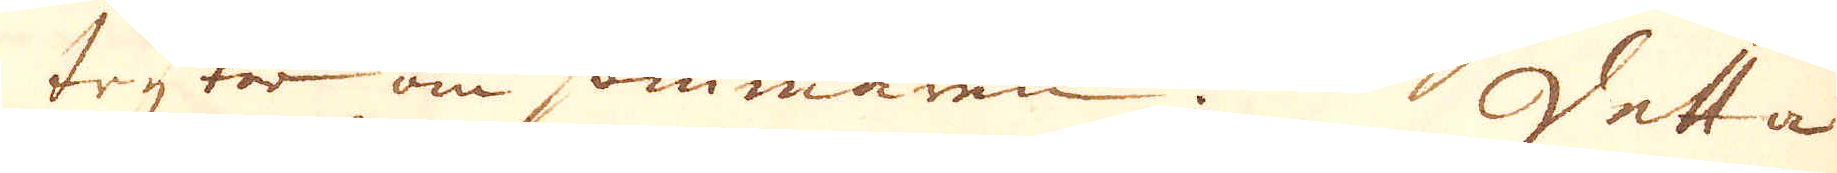tryter om sommaren. Detta
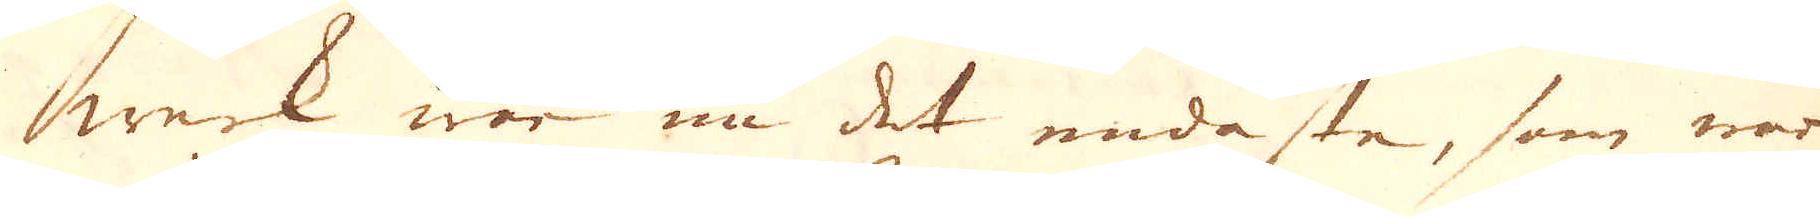werk war nu det endaste, som war
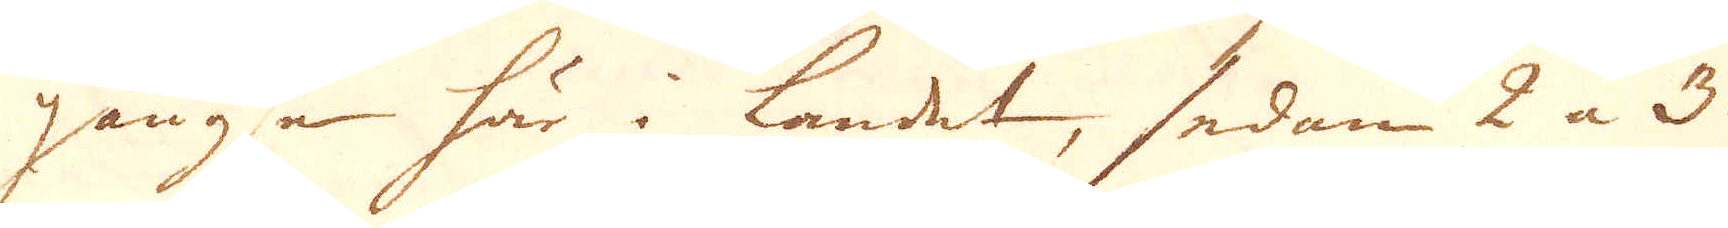gängse här i landet, sedan 2 a 3
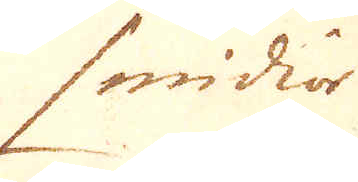smidior
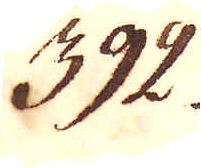392.
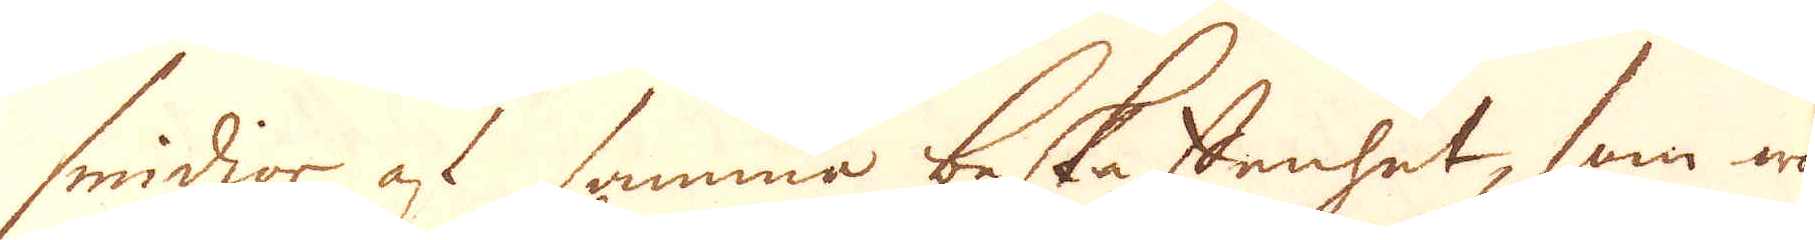smidior af samma beskaffenhet, som wo-
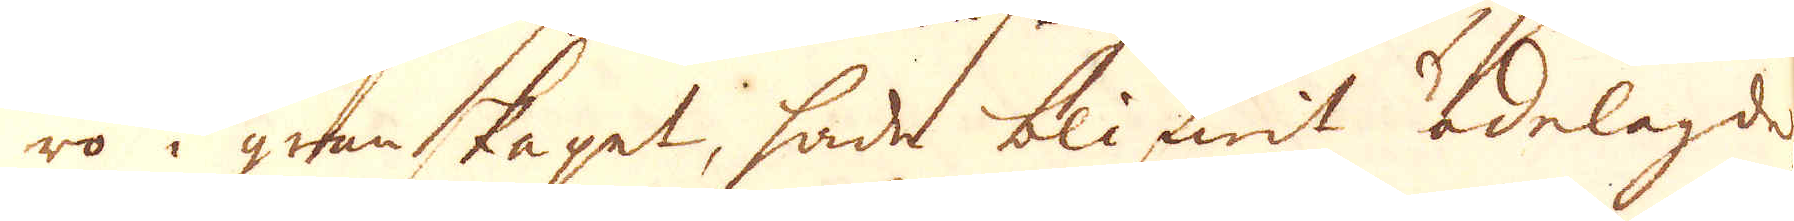ro i granskapet, hade blifwit ödelagde
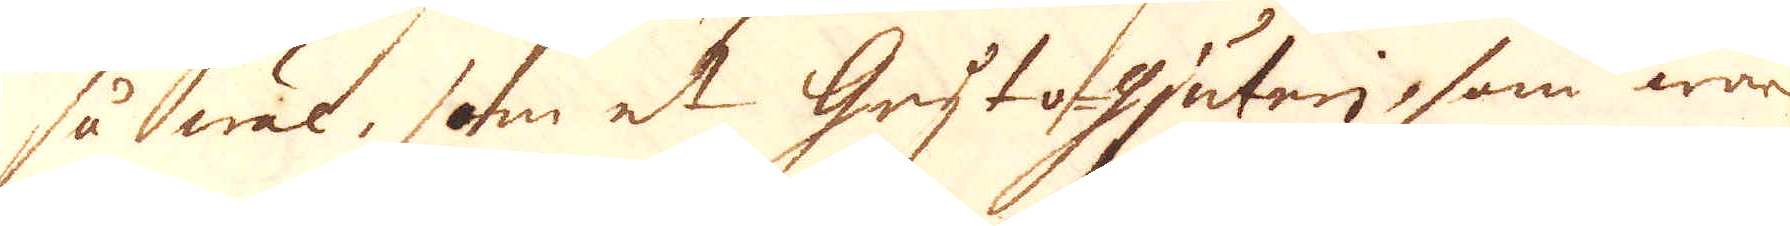så wäl, som et Gryto-gjuteri, som war
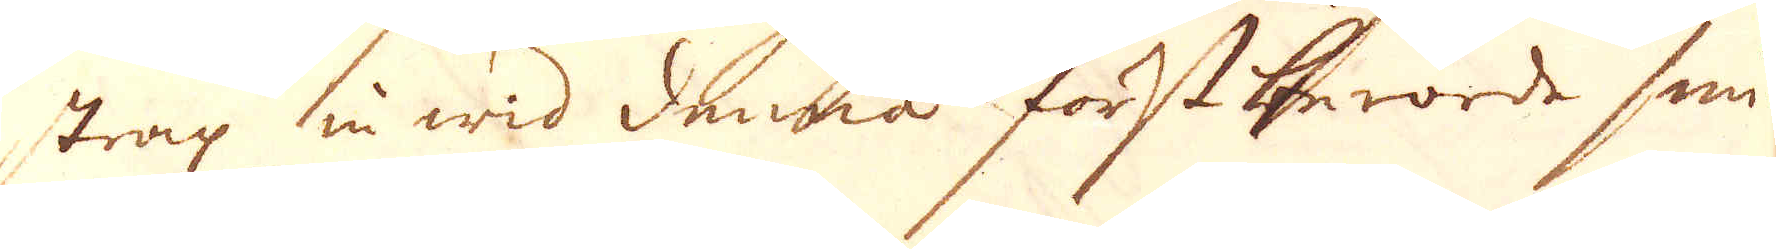strax in wid denna förstberörde smi-
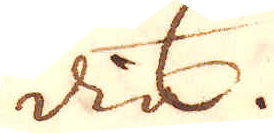dia.
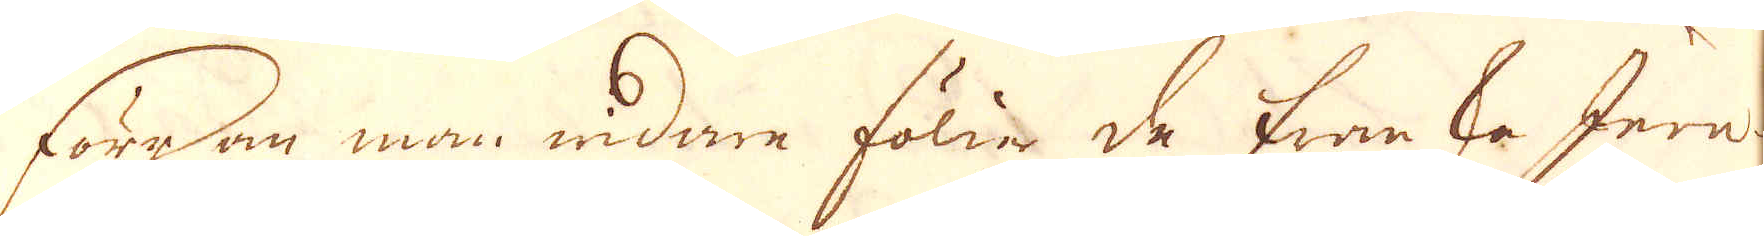Förrän man widare fölia de franska Jern-
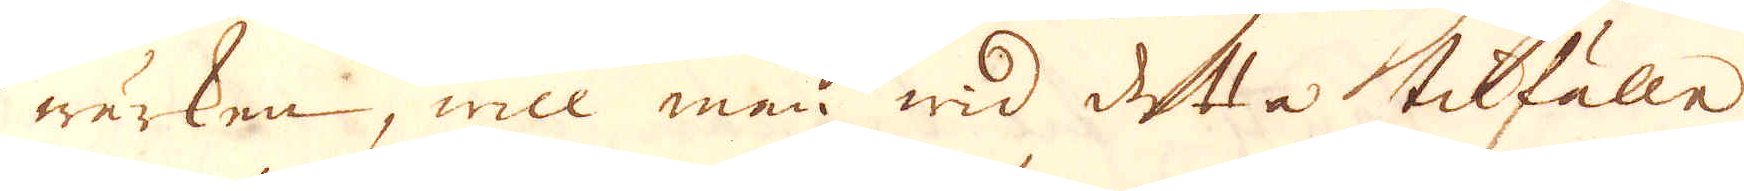wärken, will man wid detta tilfälle
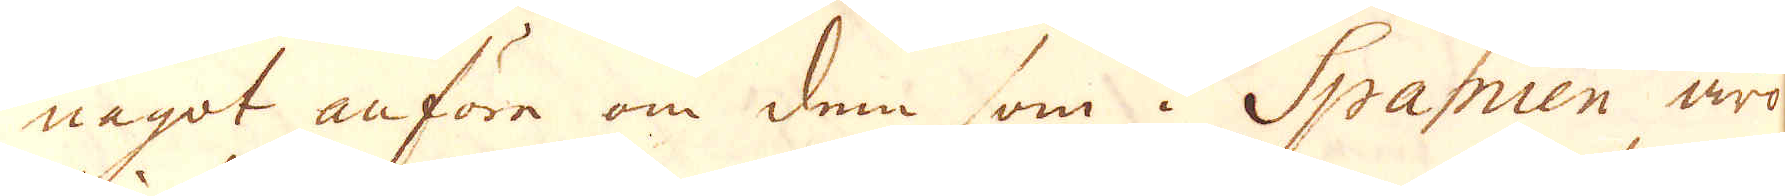något anföra om dem som i Spanien äro
